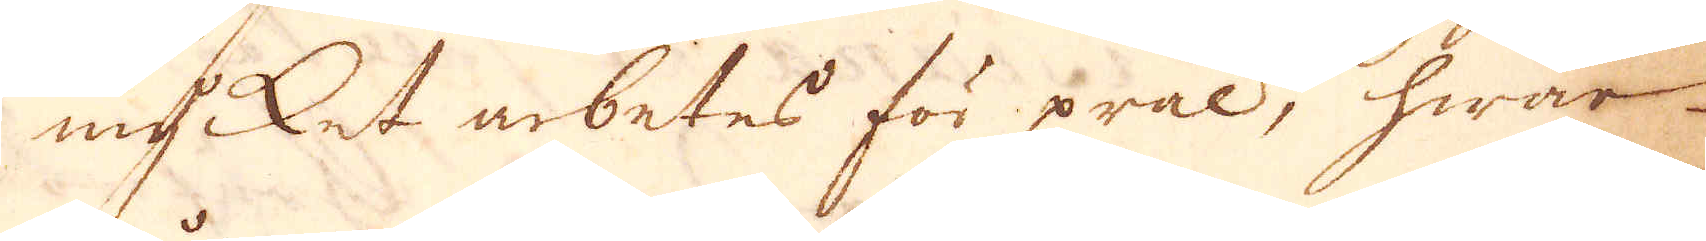mycket arbetes för prål, hwar
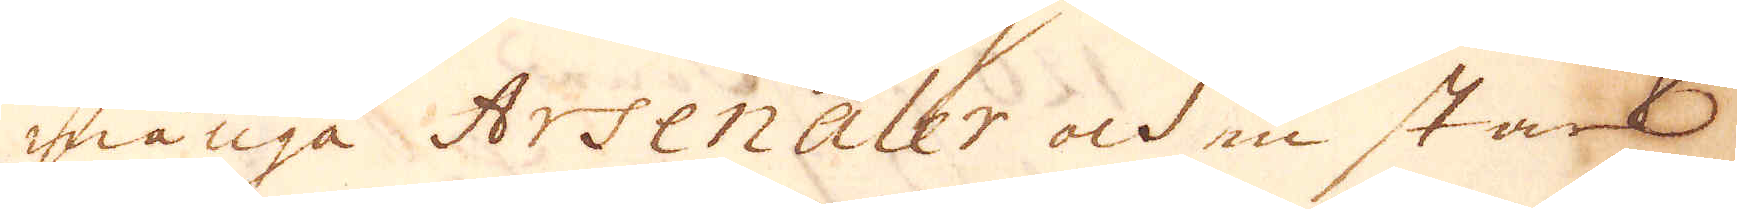många Arsenaler och en stark
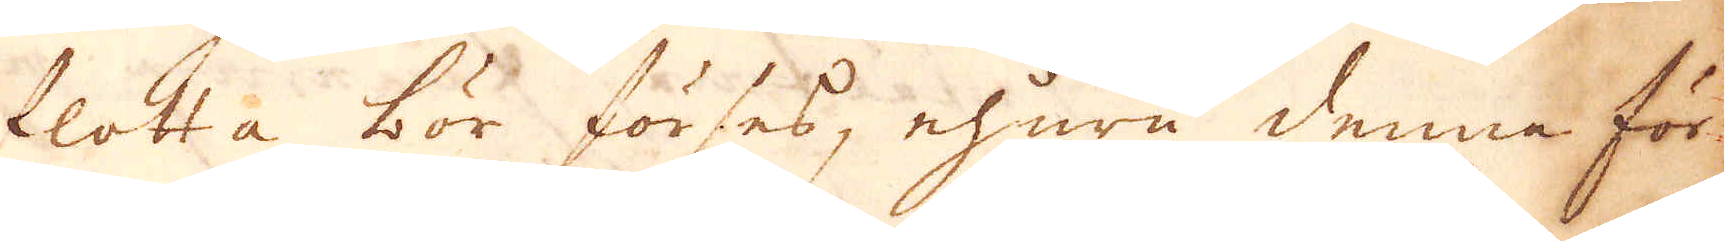flotta bör förses, ehuru denna för
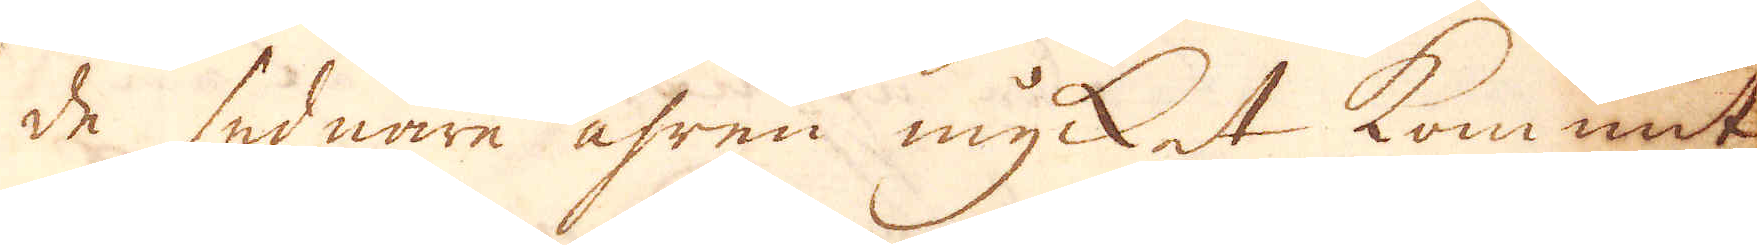de sednare åhren mycket kommit
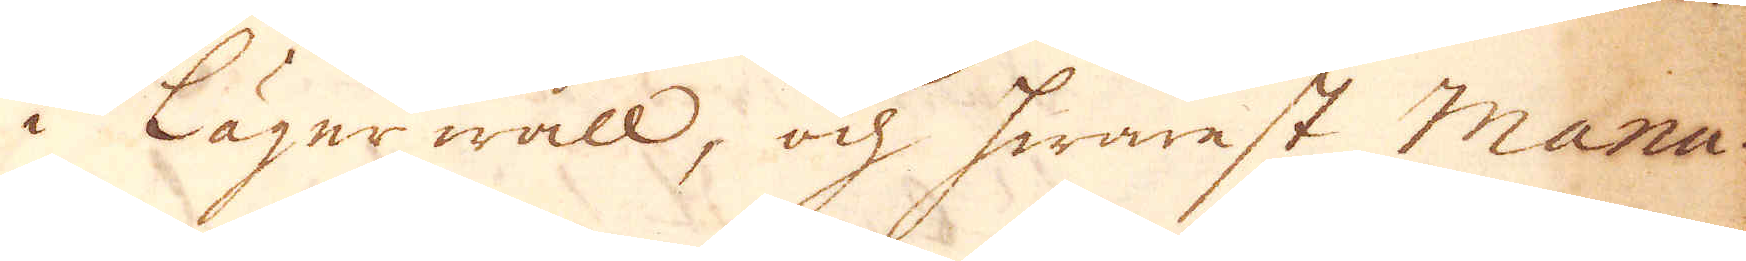i Lägerwall, och hwarest Manu-
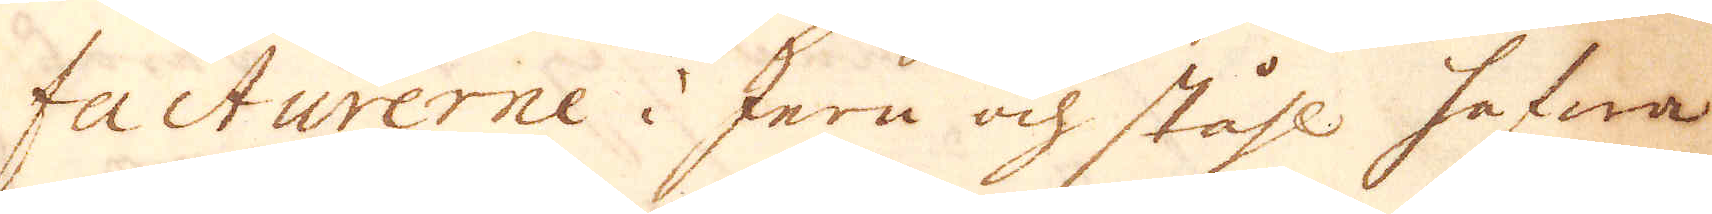facturerne i Jern och ståhl hafwa
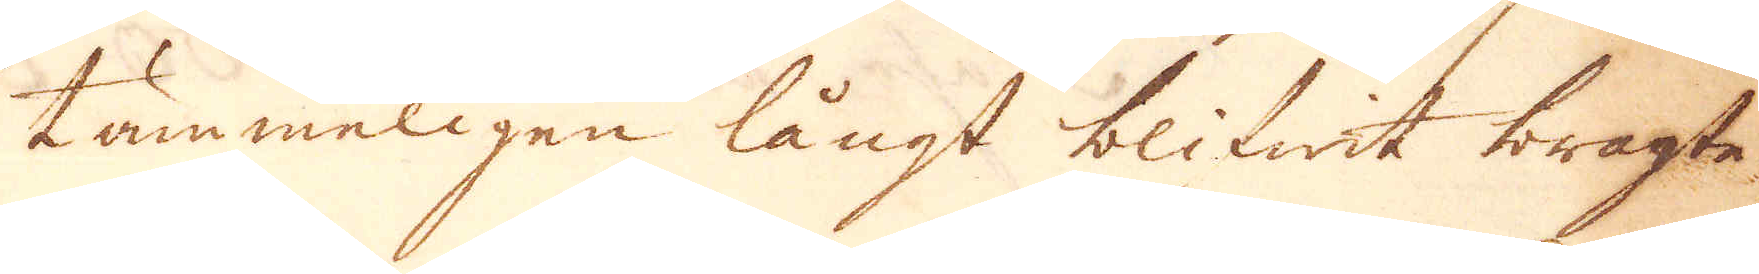tämmeligen långt blifwit bragte.
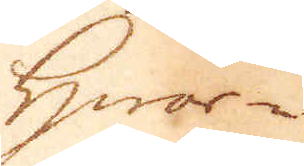Hwar-
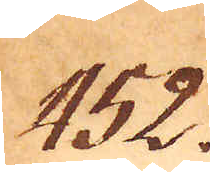452.
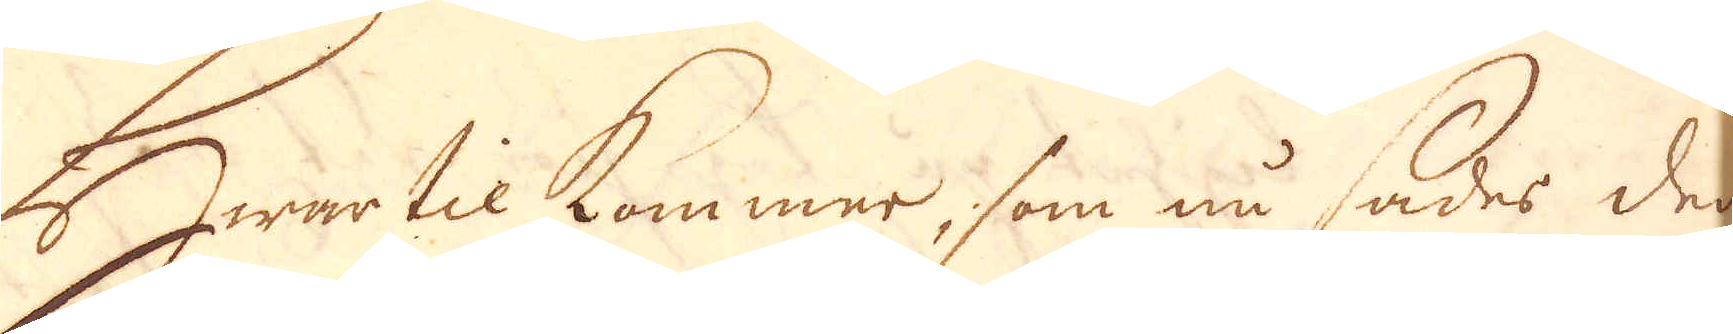Hwartil kommer, som nu sades den
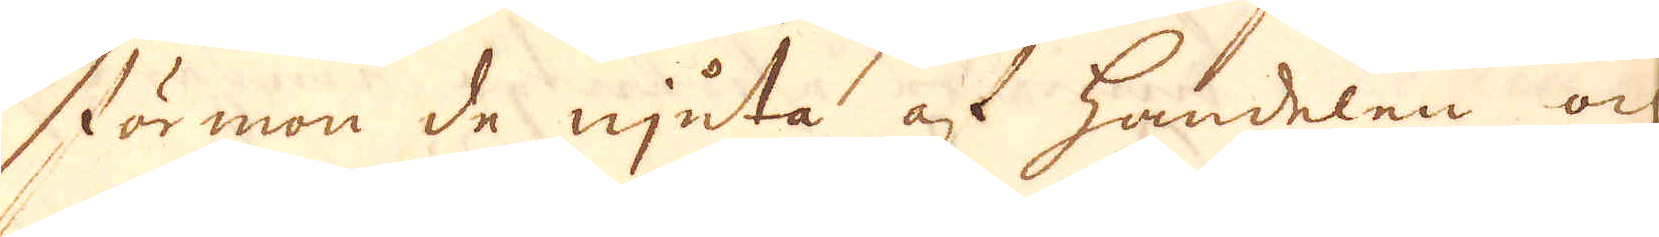förmon de njuta af handelen och
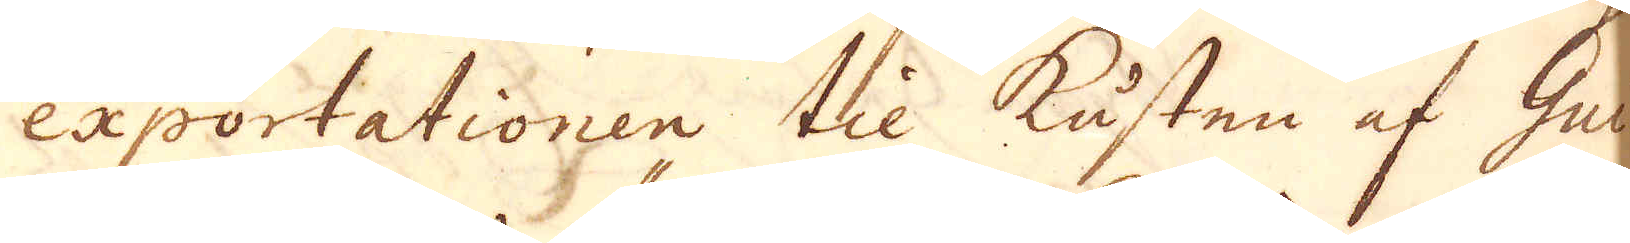exportationen til kusten af Gui-
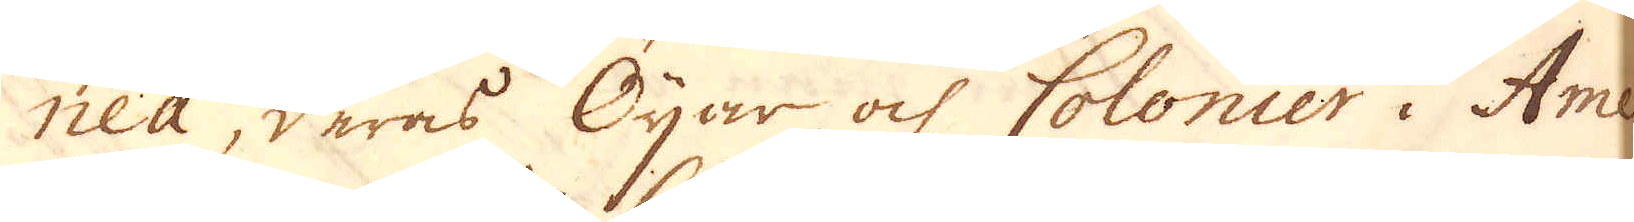nea, deras Öijar och Colonier i Ame-
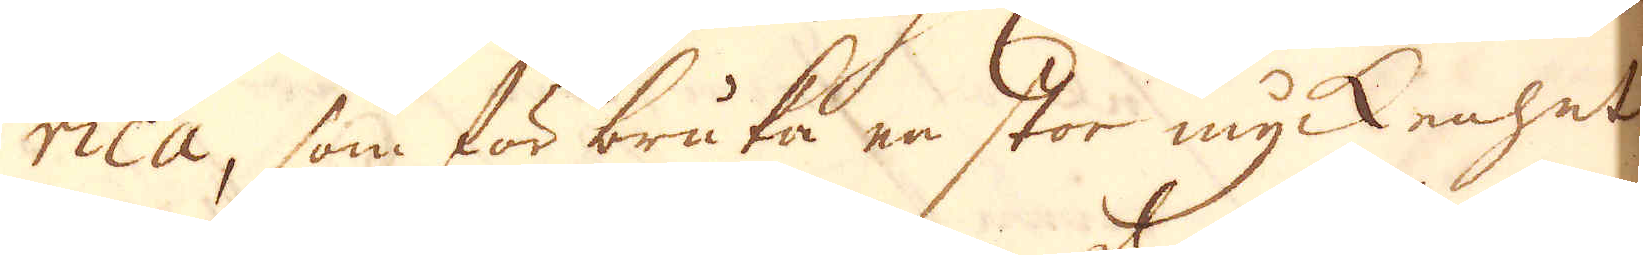rica, som för bruka en stor myckenhet
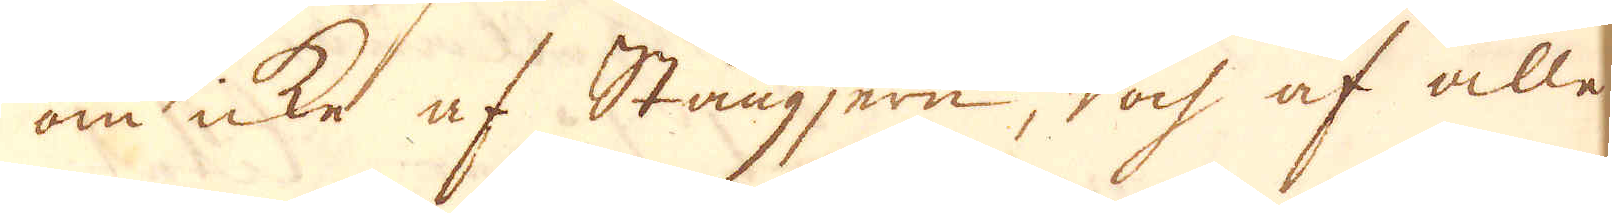om icke af Stångjern, doch af alle-
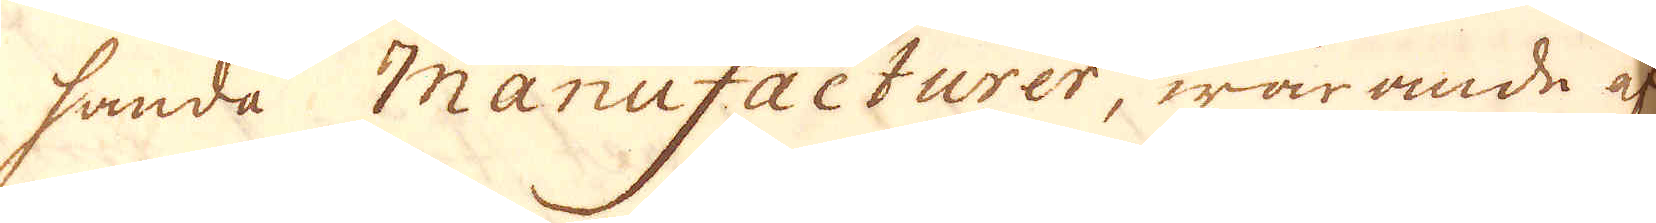handa Manufacturer, warande af
